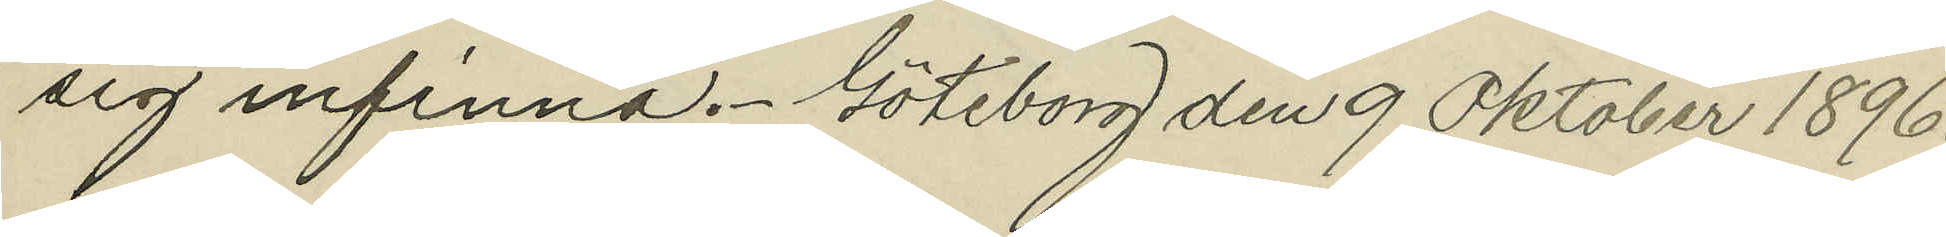sig infinna. Göteborg den 9 Oktober 1896.
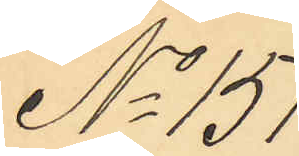No 151.
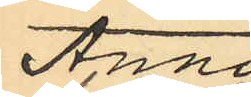Anna
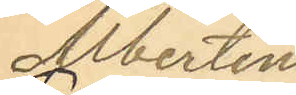Albertina
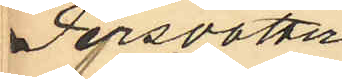Persdotter
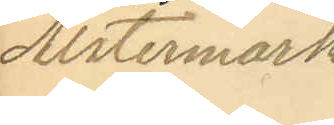Alstermark.
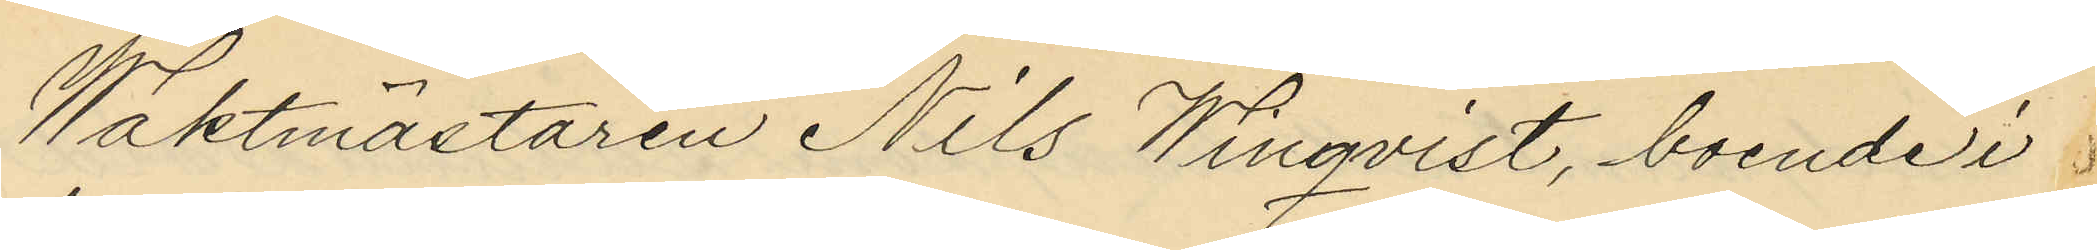Waktmästaren Nils Winqvist, boende i
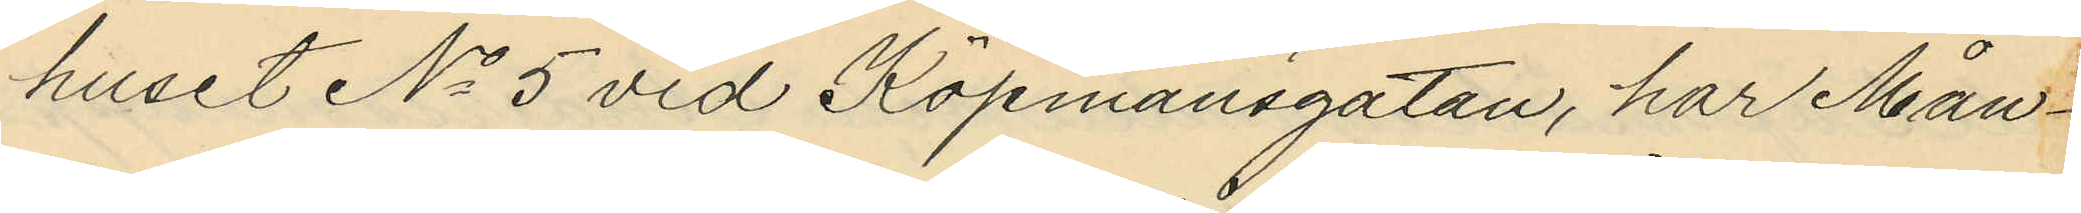huset No 5 vid Köpmansgatan, har Mån¬
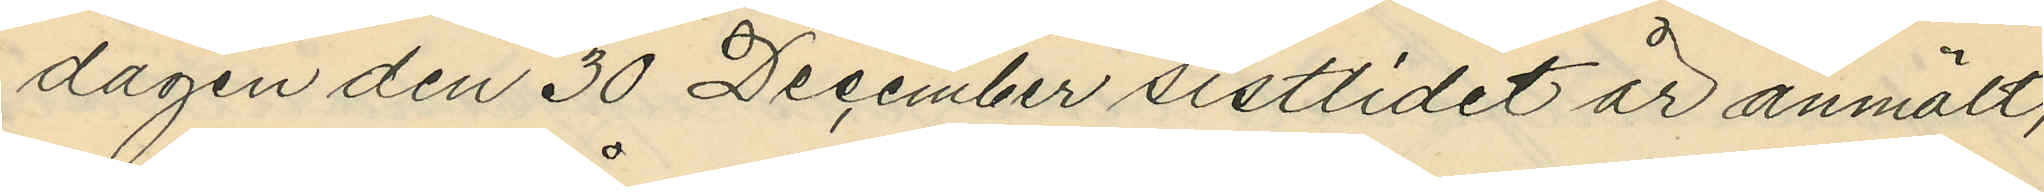dagen den 30 December sistlidet år anmält,
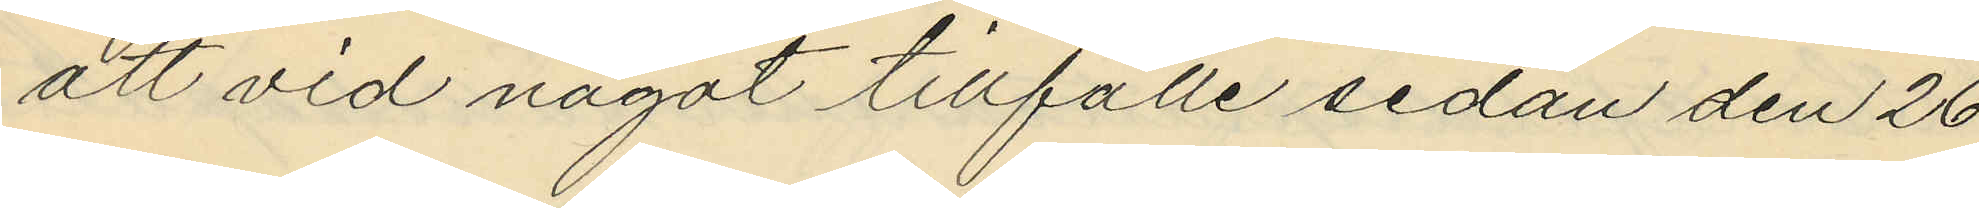att vid något tillfälle sedan den 26
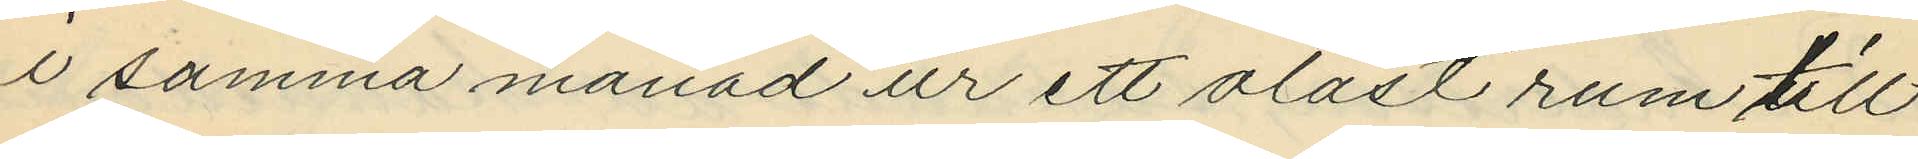i samma månad ur ett olåst rum till
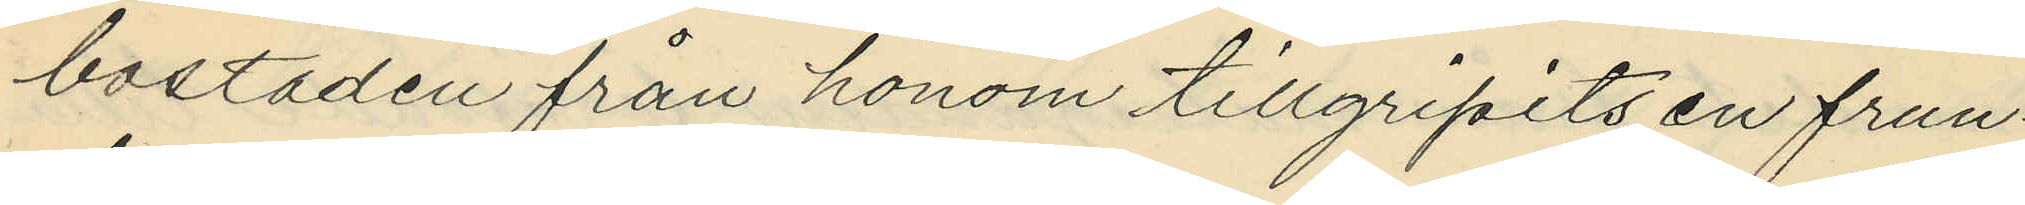bostaden från honom tillgripits en frun¬
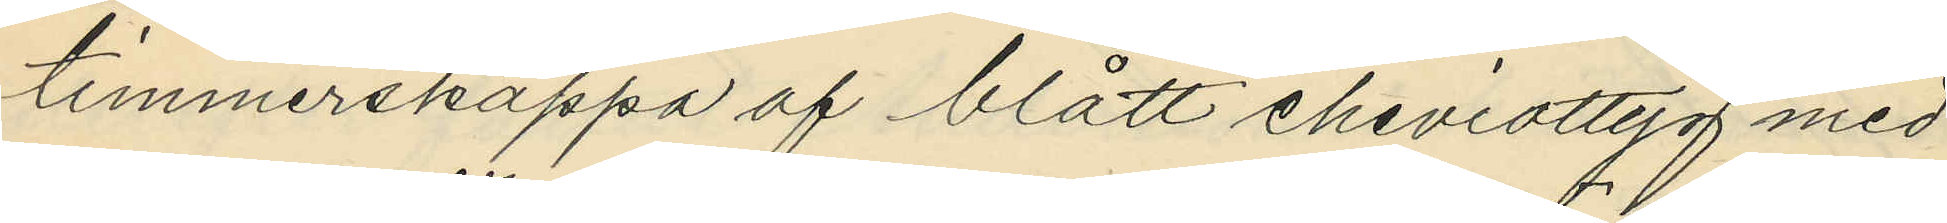timmerskappa af blått cheviottyg med
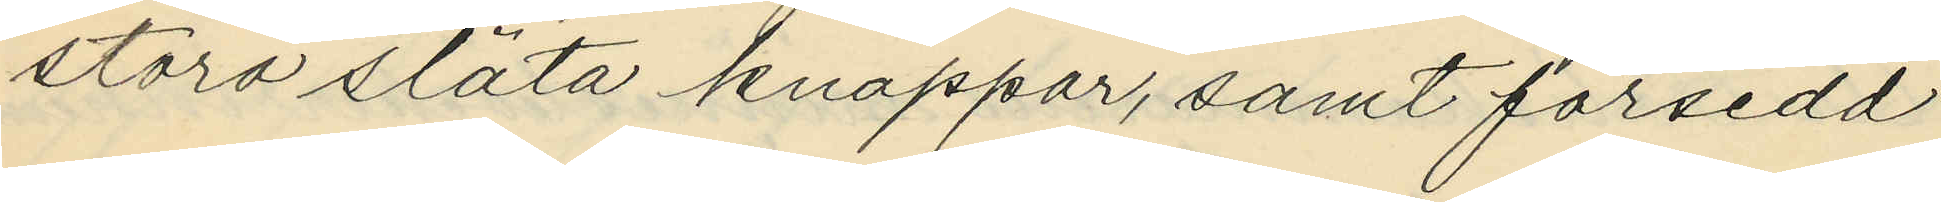stora släta knappar, samt försedd
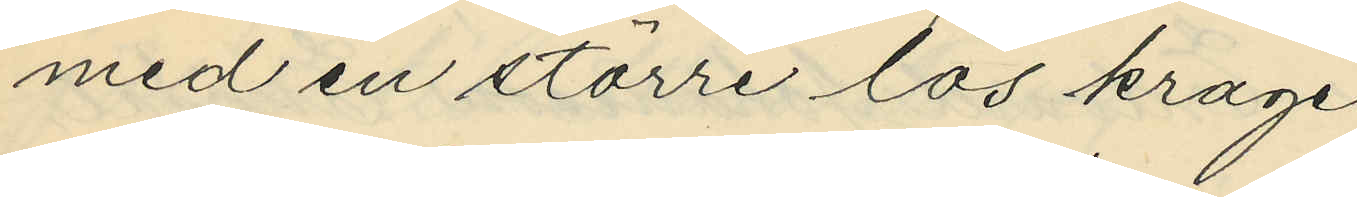med en större lös krage
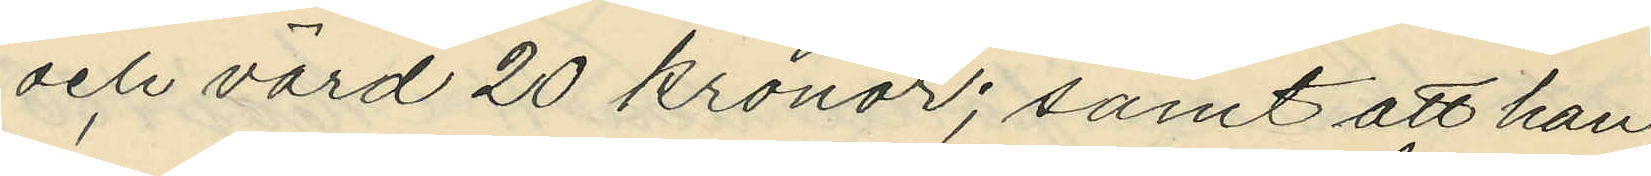och värd 20 kronor; samt att han
